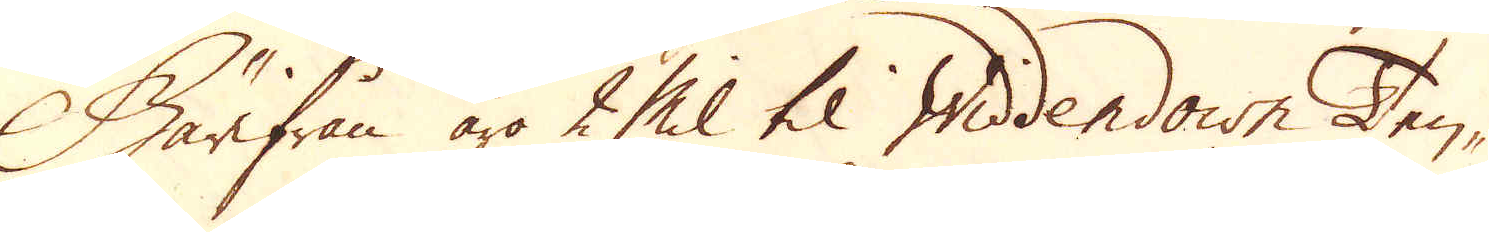Härifrån äro 2 Mil til Widdendown Ten-
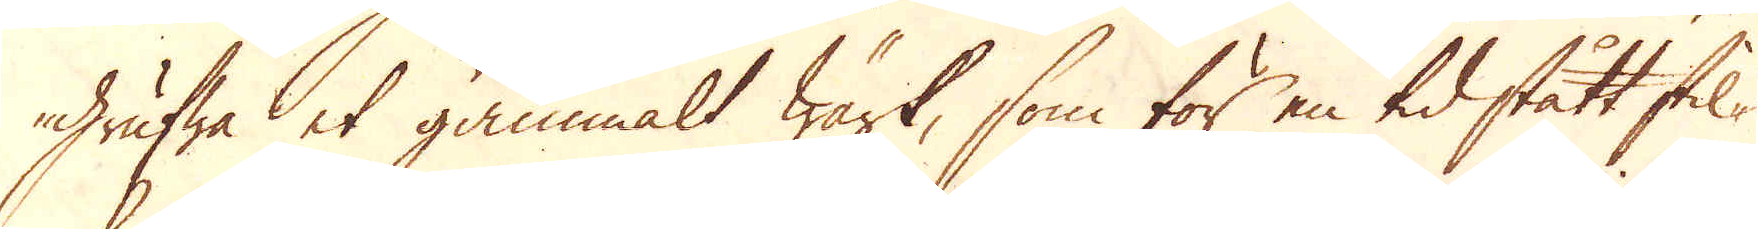grufwa et gammalt wärk, som för en tid stått stil-
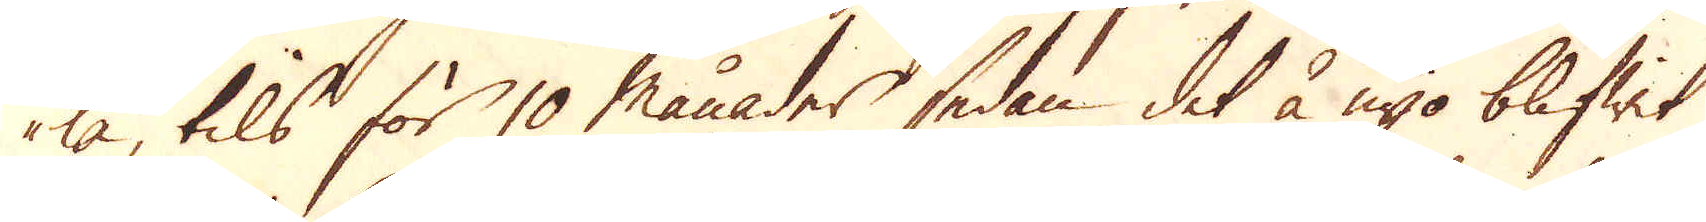la, tils för 10 månader sedan det å nyo blifwit
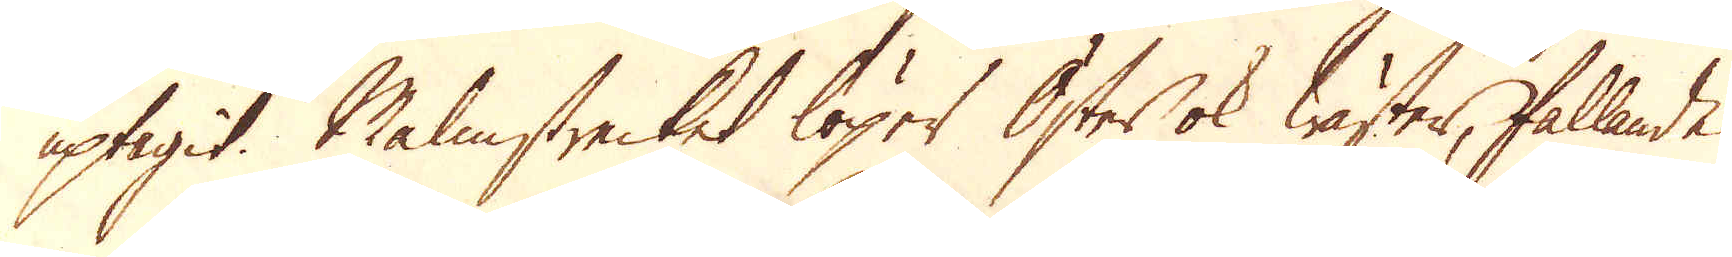uptagit. Malmstrecket löper Öster ok Wäster, fallande
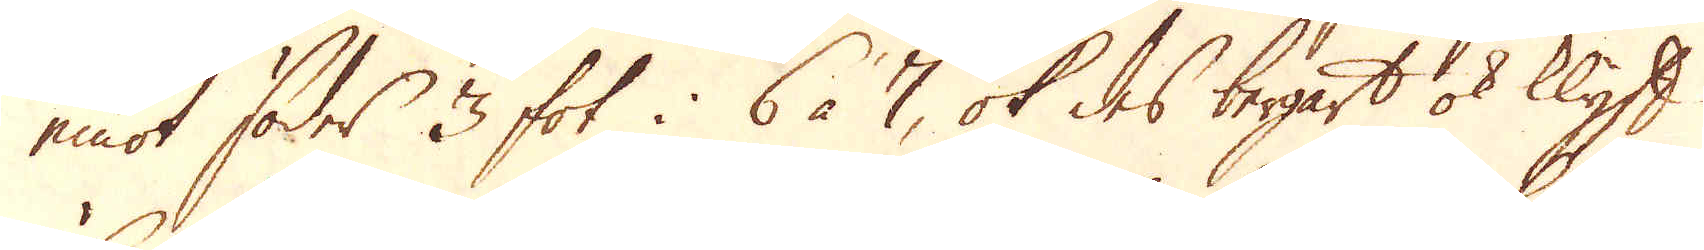emot söder 3 fot i 6 à 7, ok des bergart ok klyft
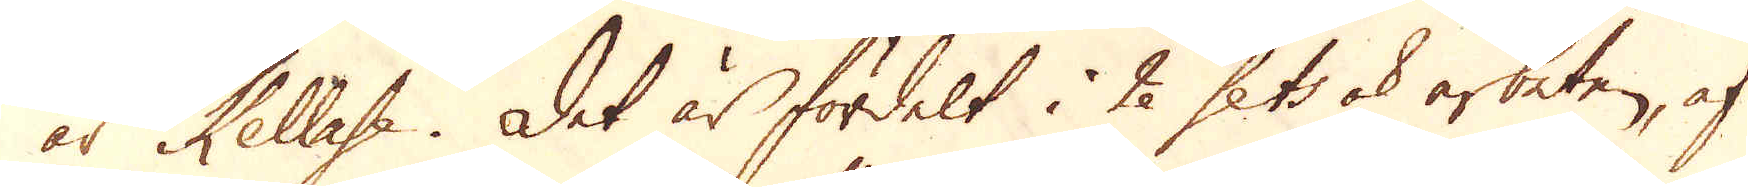är Kellase. Det är fördelt i 2 sets ok arbeten, af
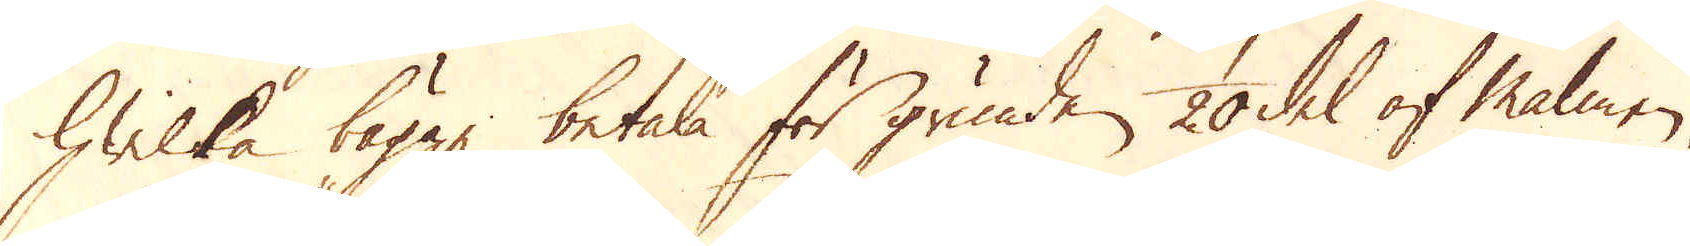hwilka bägge betala för grunden, 1/20 del af Malmen
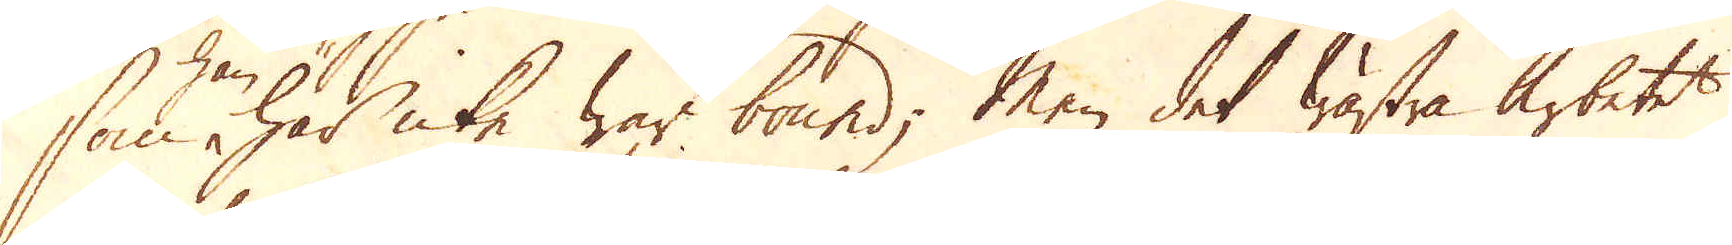som här icke war bound; Men det wästra arbetet
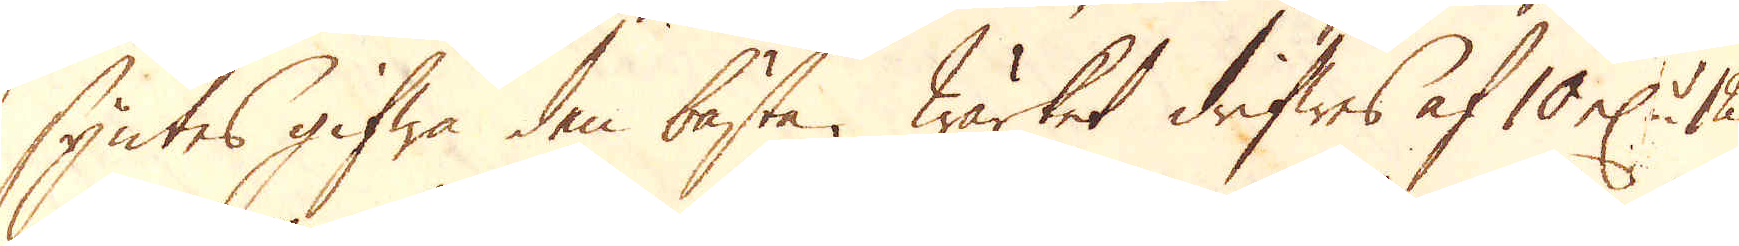syntes gifwa den bästa. Wärket drifwes af 10 el:r 12,
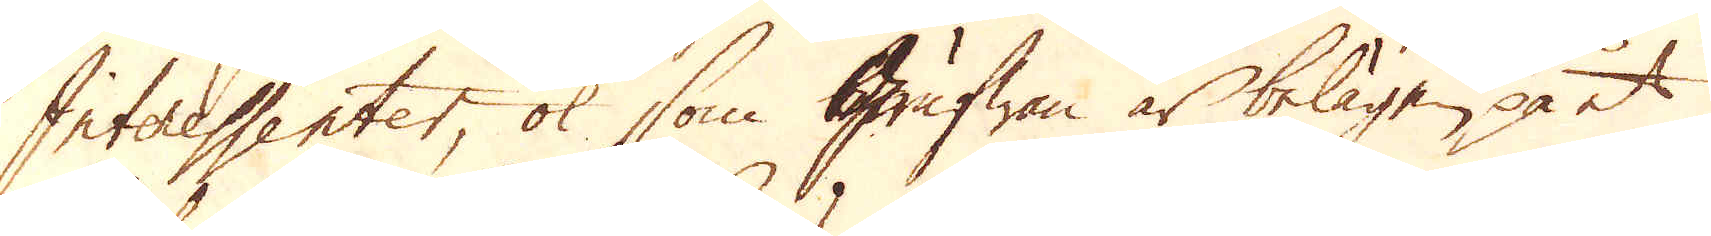Interessenter, ok som Grufwan är belägen på et
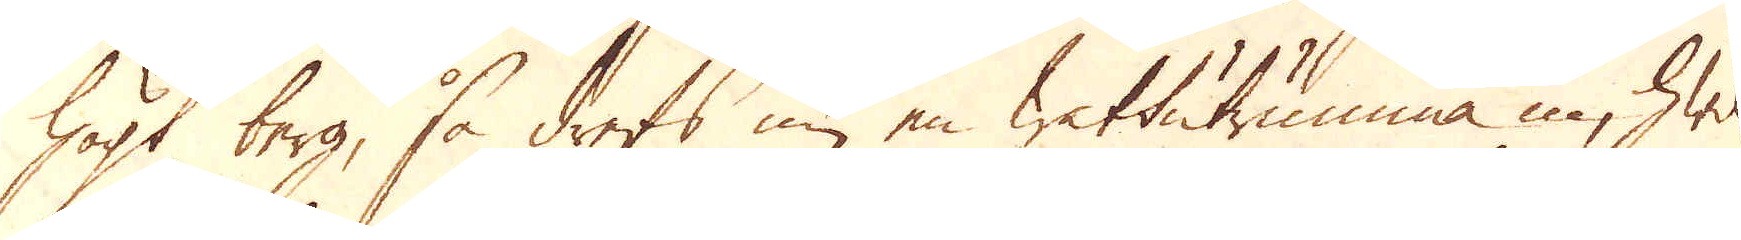högt berg, så drefs nu en wattutrumma in, hwil-
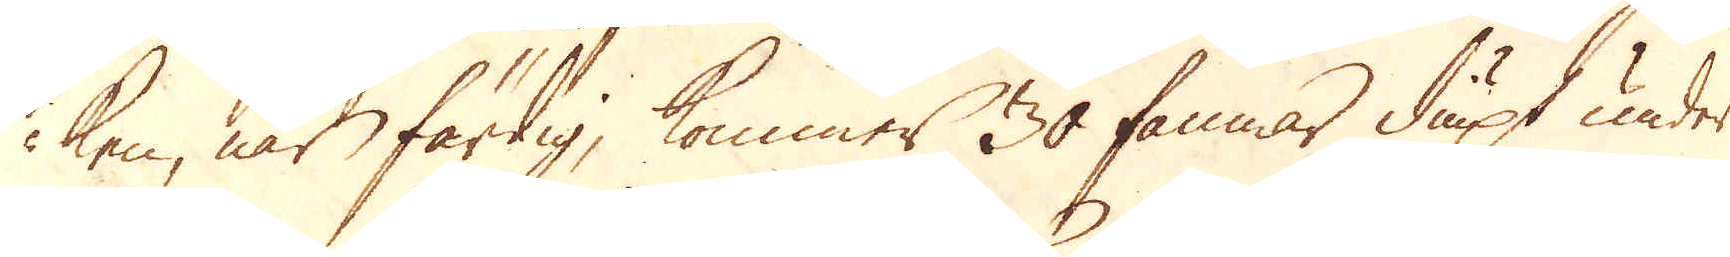ken, när färdig, kommer 30 famnar diupt under
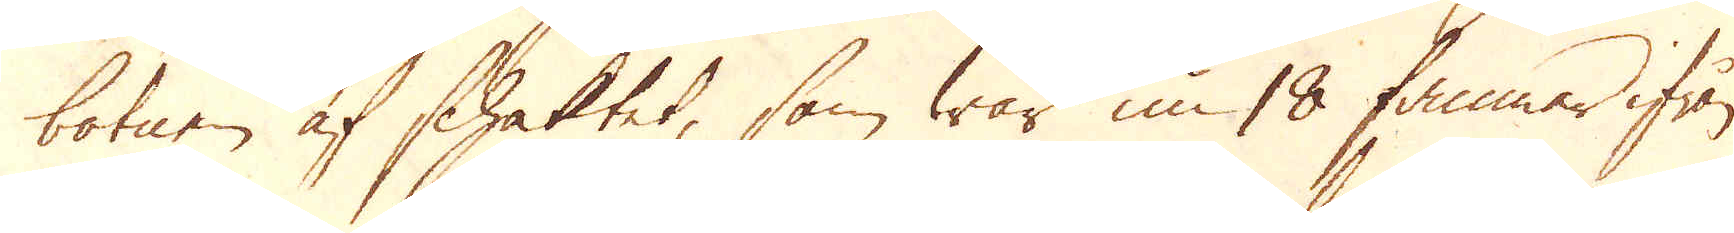botnen af schaktet, som war nu 18 famnar ifrån
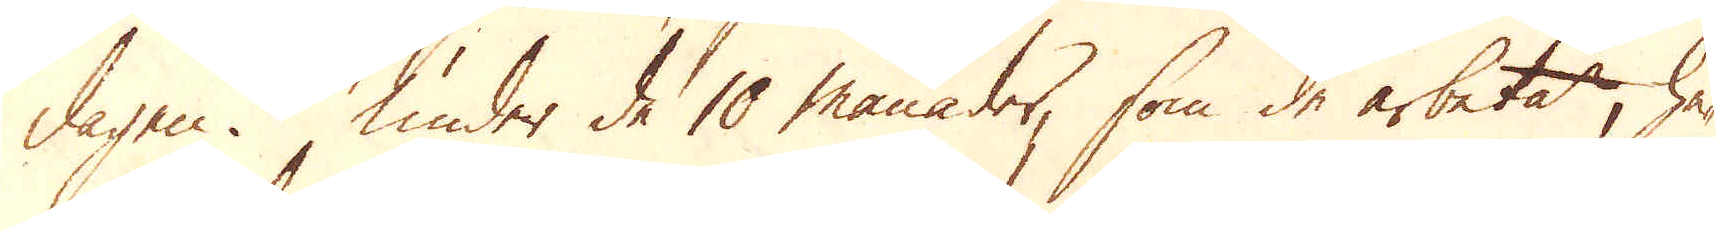dagen. Under de 10 månader, som de arbetat, ha-
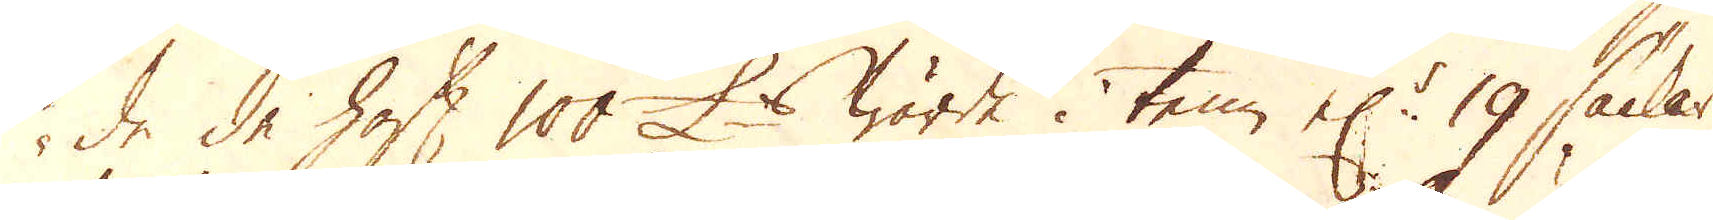de de haft 100 £:s wärde i tenn el:r 19 säckar
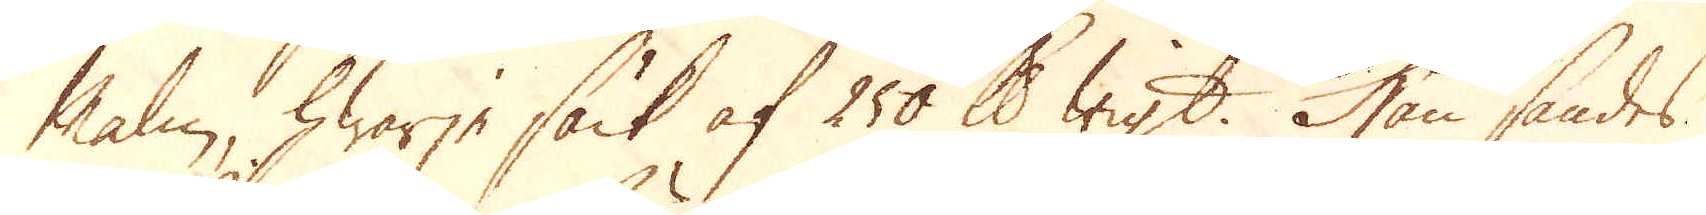malm, hwarje säck af 250 skålpunds wigt. Han sändes
